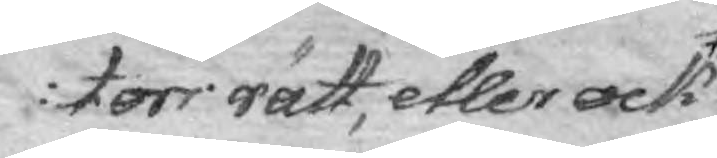ctors rätt, etter ock
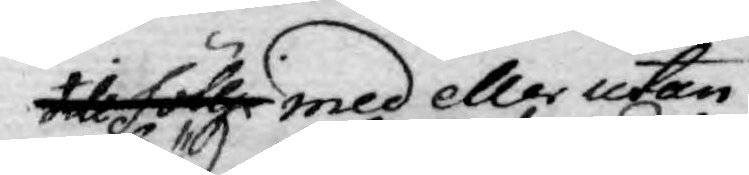till föllje med eller utan
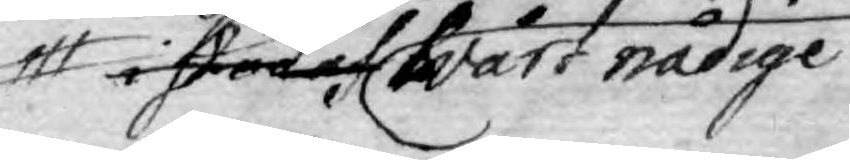i stöd af Wårt nådige
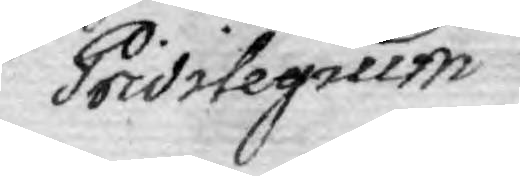Privilegium
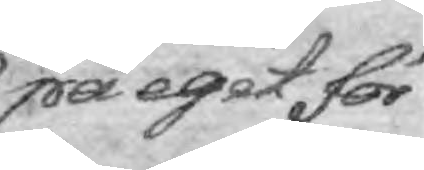på egit för¬
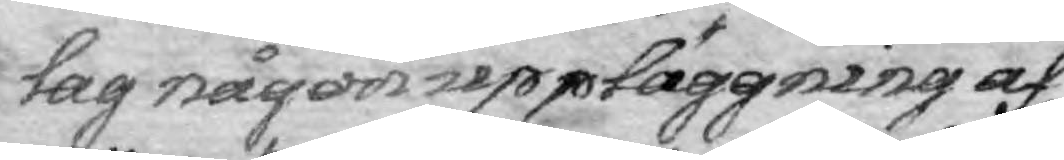lag någon uppläggning af
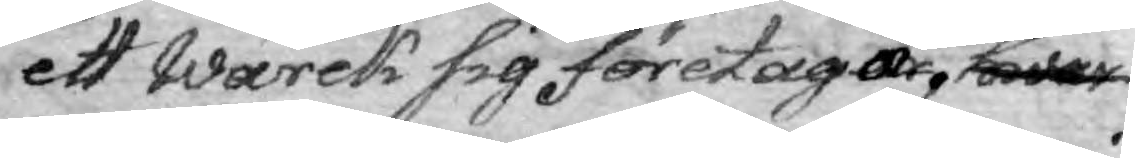ett Wärck sig företagar, hwar
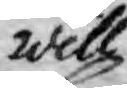will.
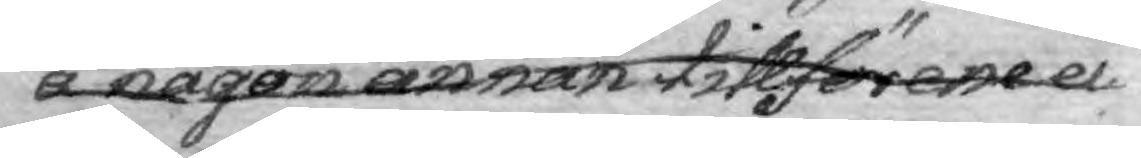å någon annan tillförene ei
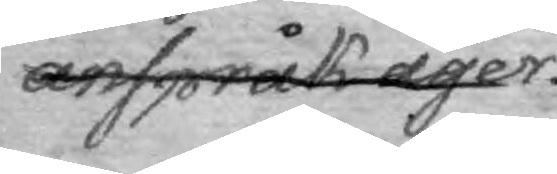anspråk äger.
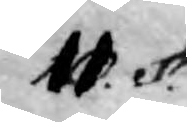11. §.
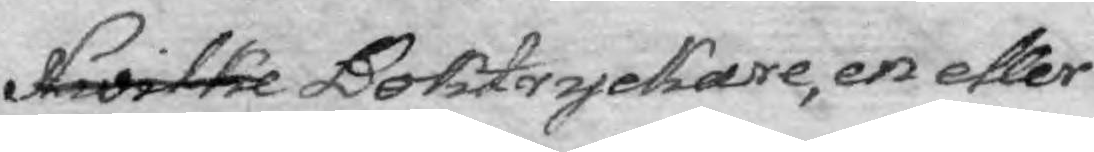Hwilke Boktryckare, en eller
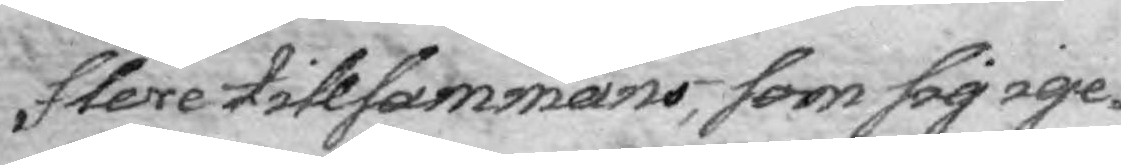flere tillsammans, som sig ige¬
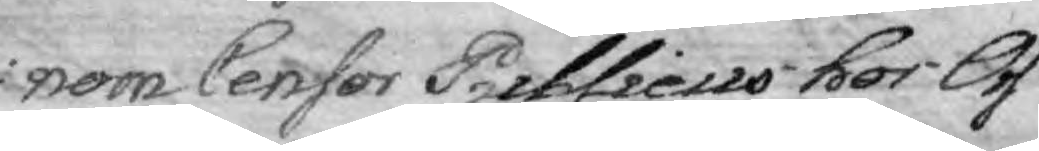nom Censor Publicus hos Oss
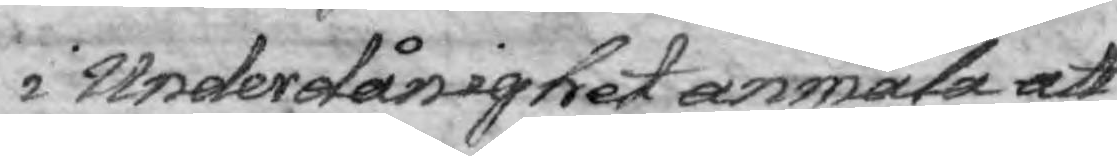i Underdånighet anmäla att
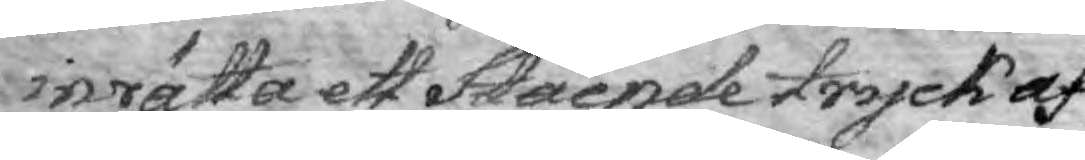inrätta ett Stående tryck af
